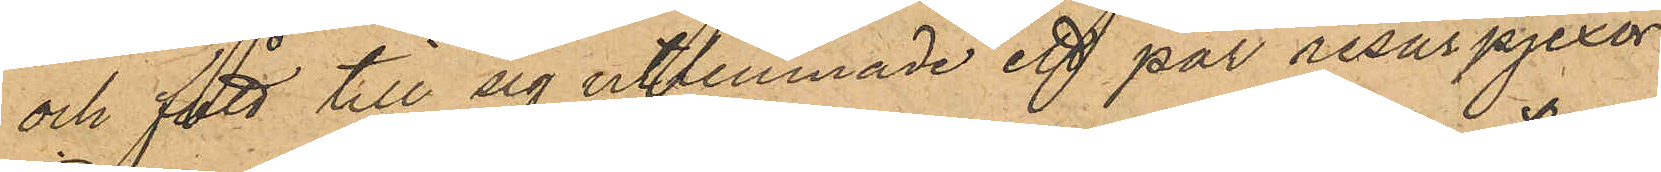och fått till sig utlemnade ett par resårpjexor,
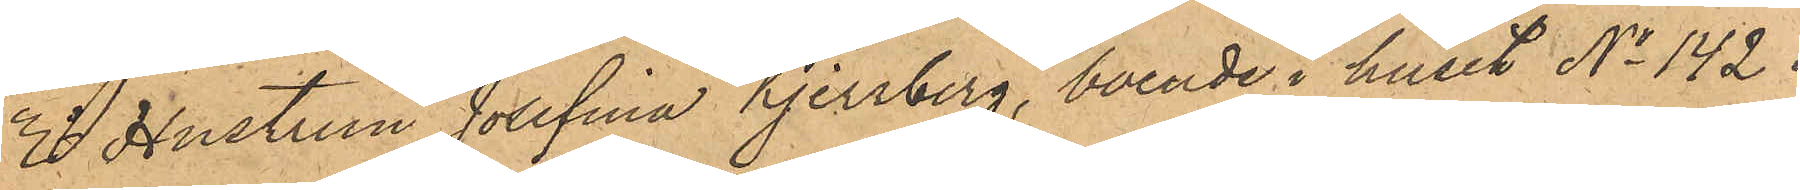3o Hustrun Josefina Kjerrberg, boende i huset No 142 i
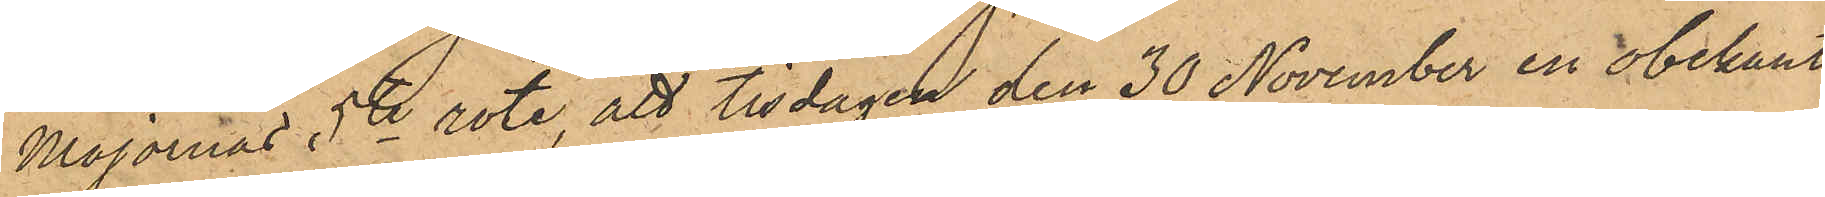Majornas 5te rote, att tisdagen den 30 November en obekant
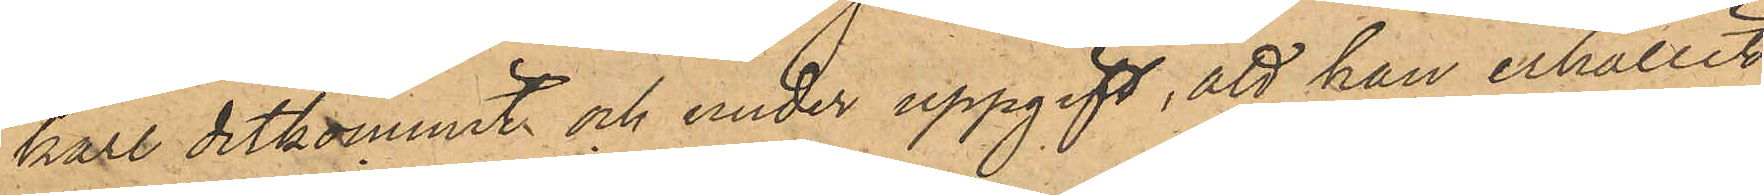karl ditkommit och under uppgift, att han erhållit
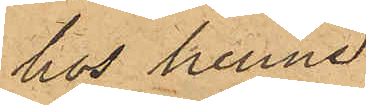hos henne
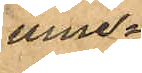inne¬
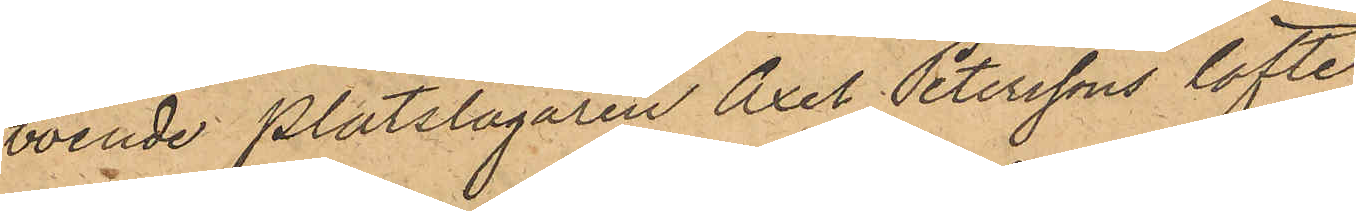boende plåtslagaren Axel Peterssons löfte
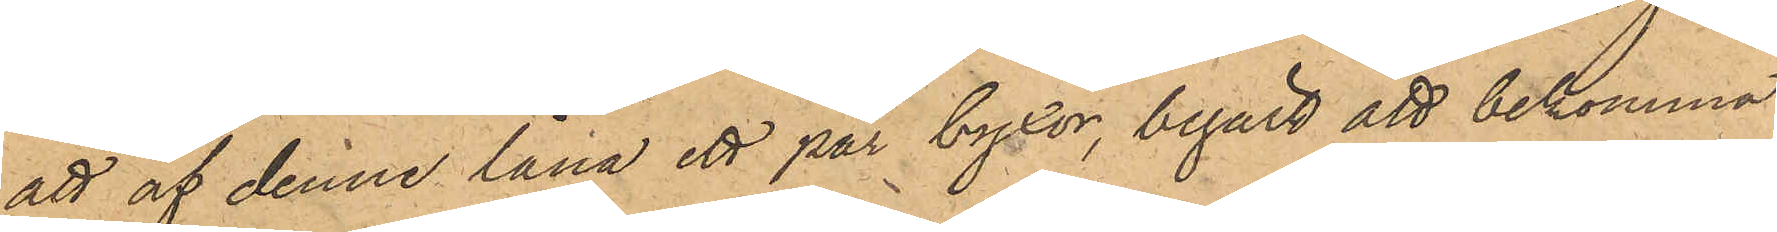att af denne låna ett par byxor, begärt att bekomma
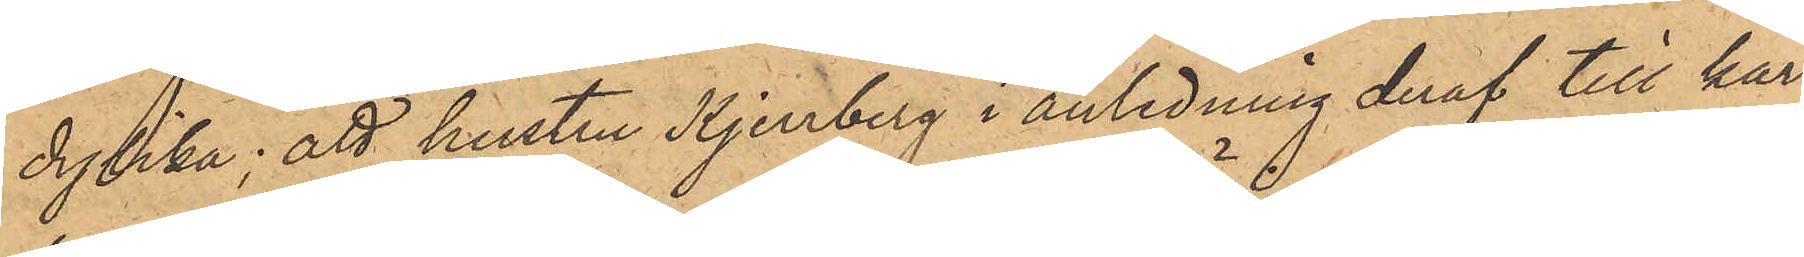dylika; att hustru Kjerrberg i anledning deraf till kar¬
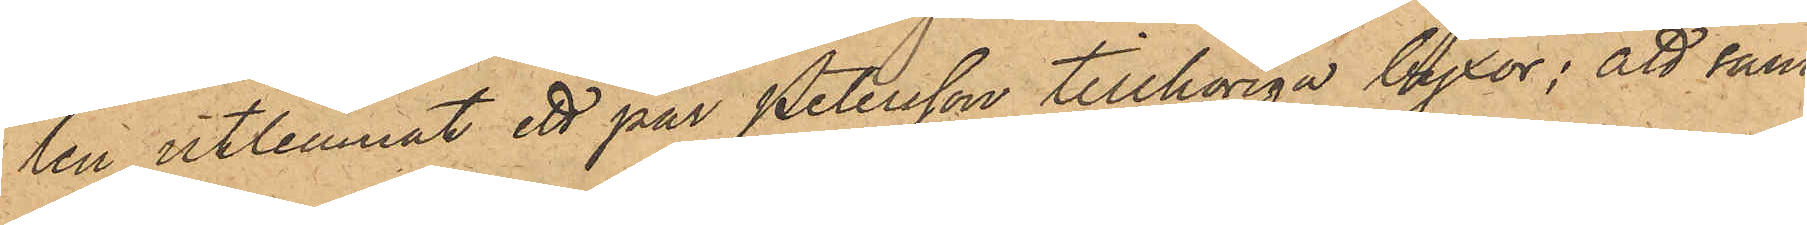len utlemnat ett par Petersson tillhöriga byxor; att sam¬
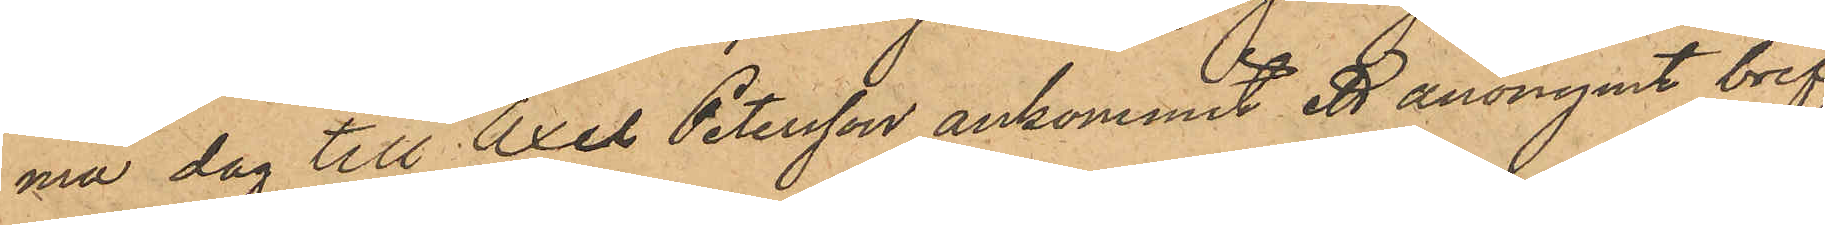ma dag till Axel Petersson ankommit ett anonymt bref,
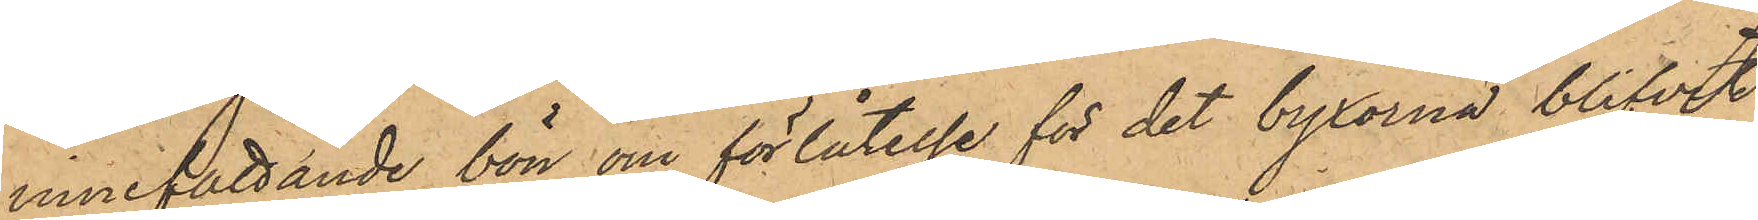innefattande bön om förlåtelse för det byxorna blifvit
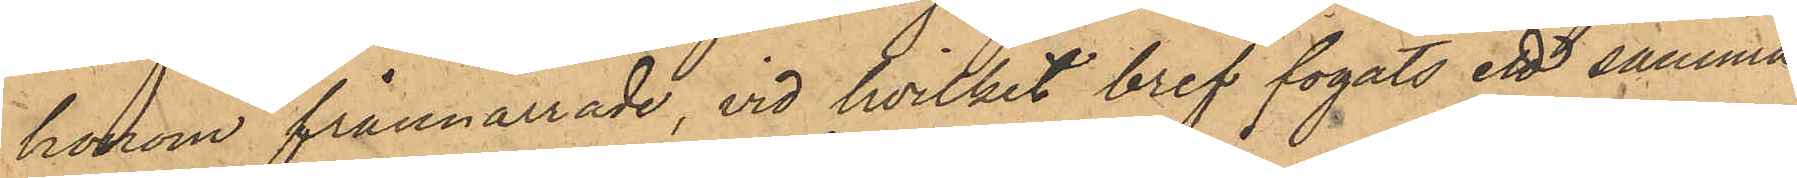honom frånnarrade, vid hvilket bref fogats ett samma
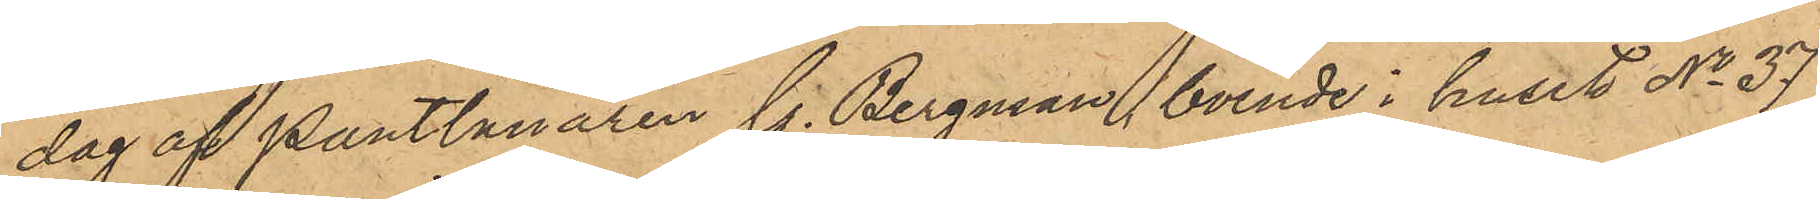dag af Pantlånaren G. Bergman, boende i huset No 37
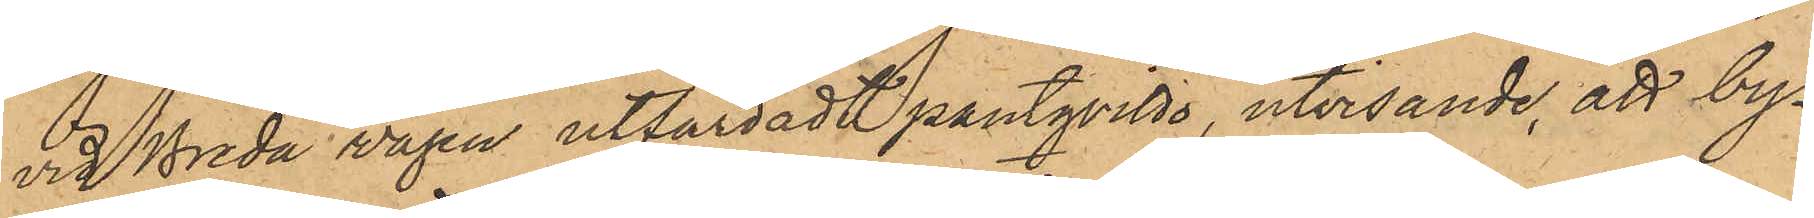vid Breda vägen utfärdadt pantqvitto, utvisande, att by¬
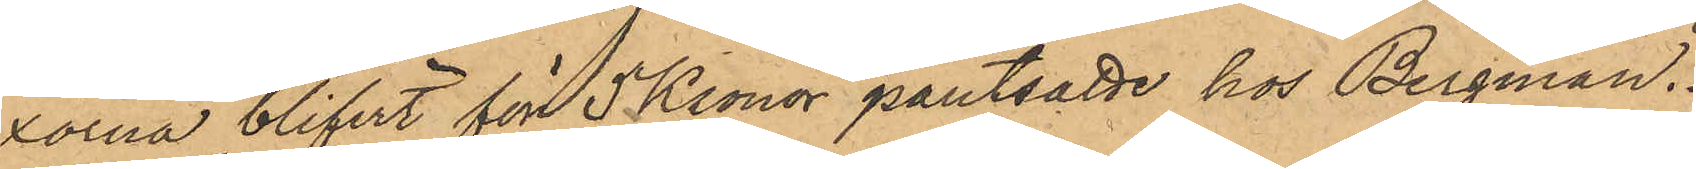xorna blifvit för 5 Kronor pantsatte hos Bergman.
